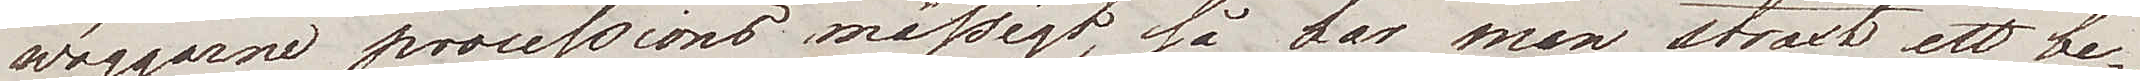wäggarne processions mässigt, så har man straxt ett be¬
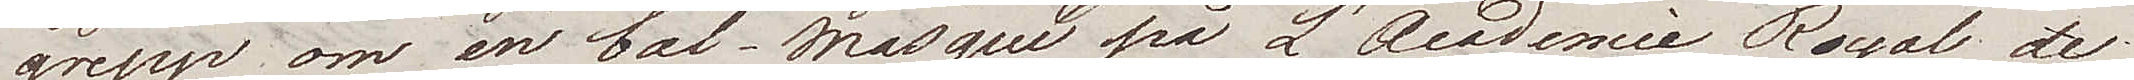grepp om en bal-masqué på L'Academie Royal de
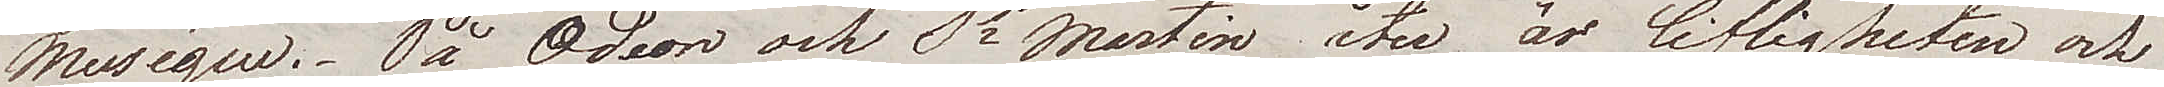Musique. På Odeon och St Martin åter, är lifligheten och
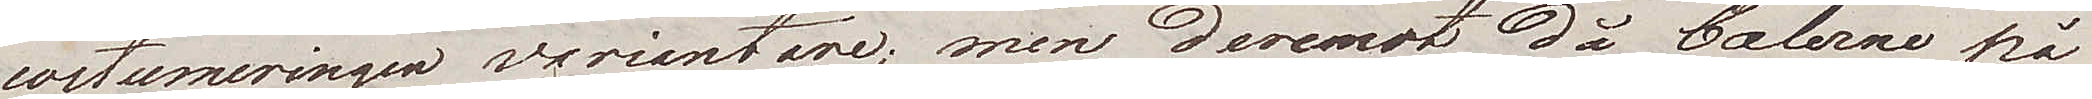costumeringen variantare; men deremot då balerne på
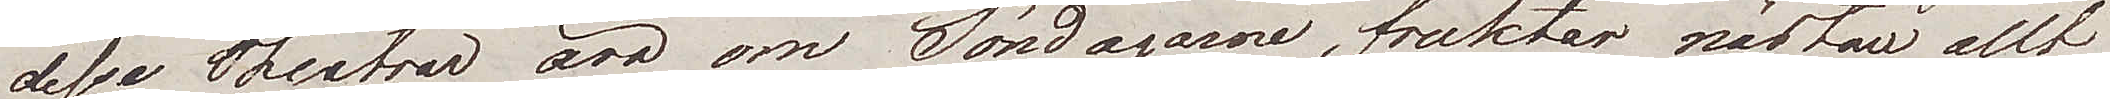desse Theatrar äro om Söndagarne, fruktar nästan allt
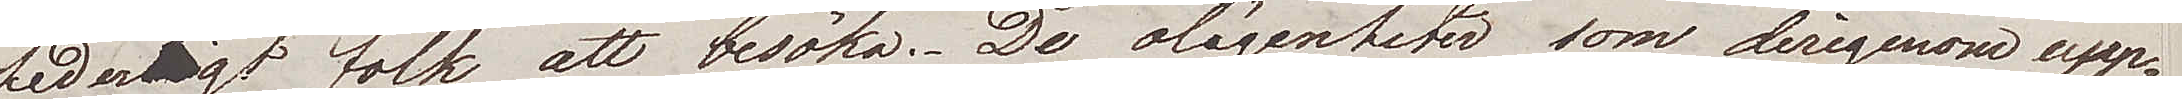ordentligt folk att besöka. De olägenheter som derigenom upp¬
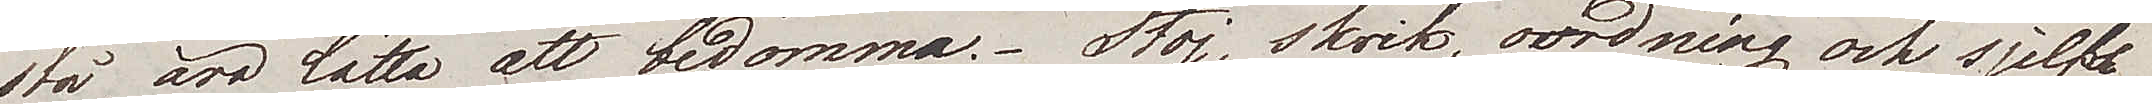stå, äro lätta att bedömma. Stoj, skrik, oordning och sjelfs¬
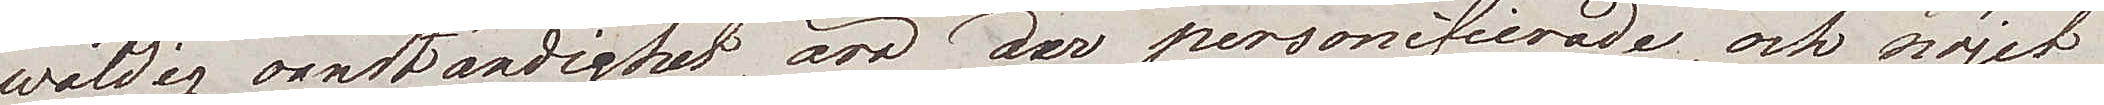wåldig oanständighet äro der personifierade, och nöjet
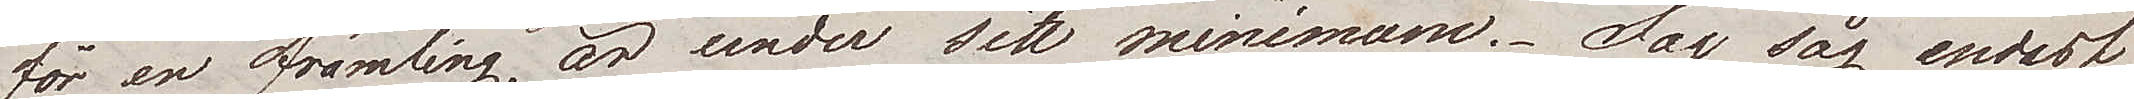för en främlig, är under sitt minimum. Jag såg endast
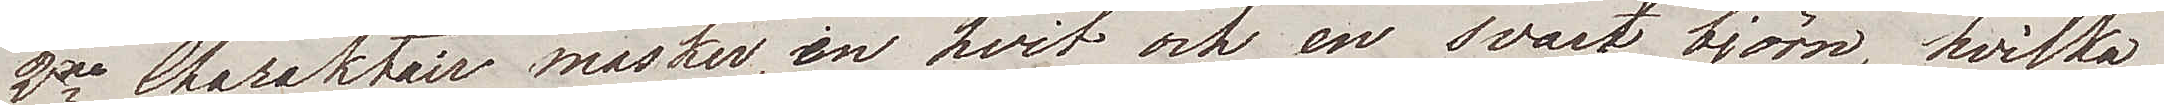2ne Charaktair masker, en hvit och en svart björn, hvilka
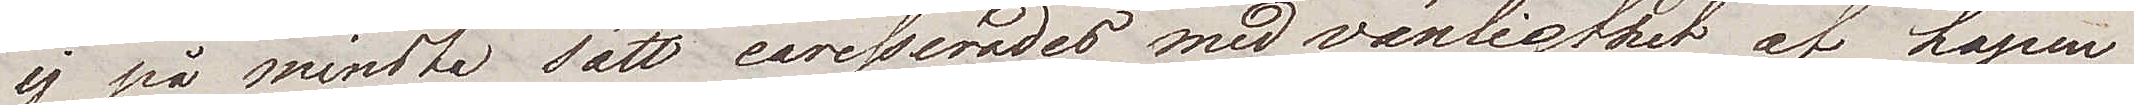ej på mindsta sätt caresserades med vänlighet af hopen
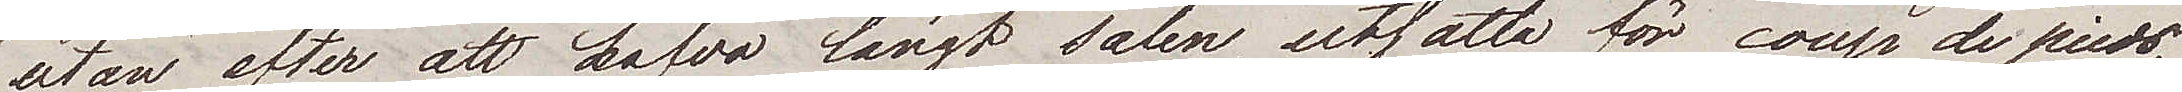utan efter att hafva längt salen, utsatta för coup de pieds
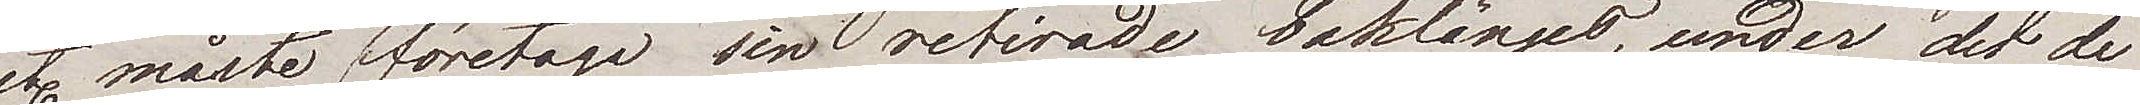etc. måste de företaga sin retirade baklänges, under det de
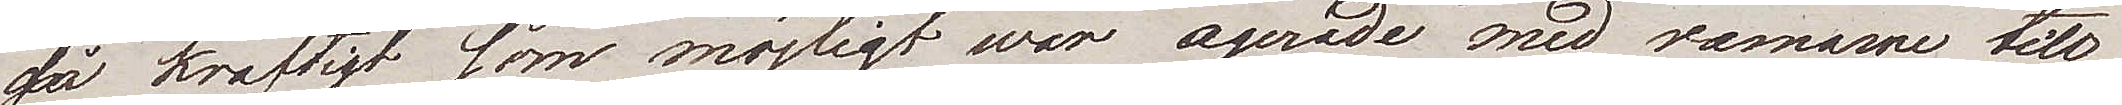så kraftigt som möjligt war agerade med ramarne till
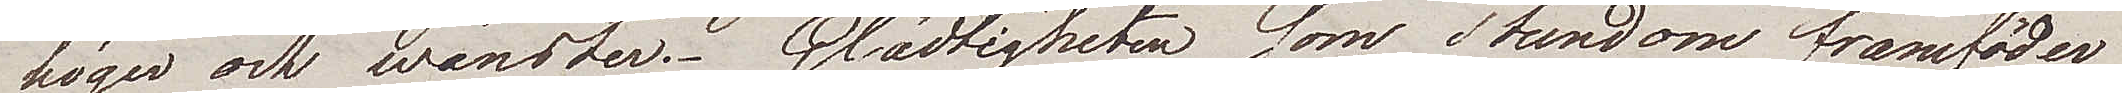höger och wänster. Glädtigheten som stundom framföder
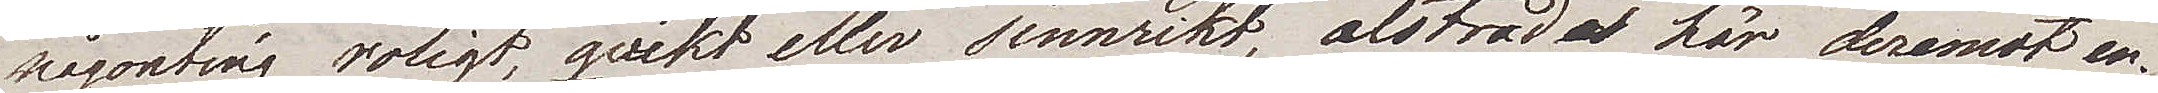någonting roligt, qvikt eller sinnrikt, alstrade här deremot en¬
